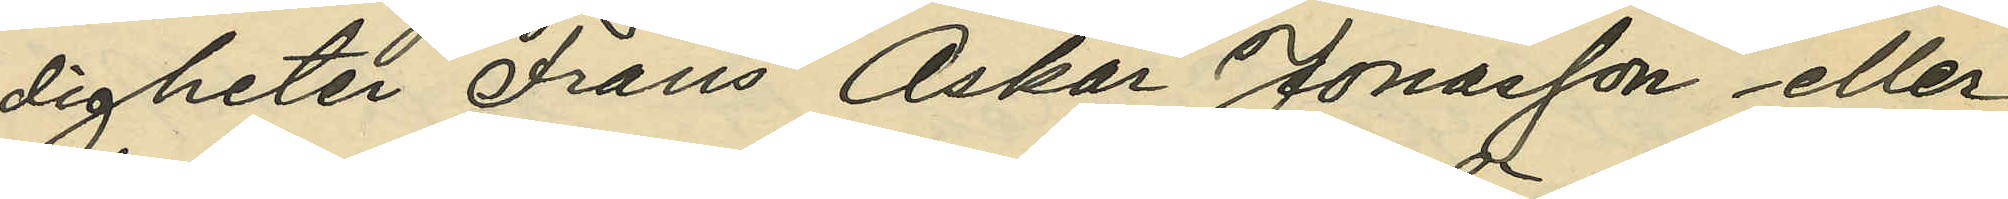digheter Frans Oskar Jonasson eller
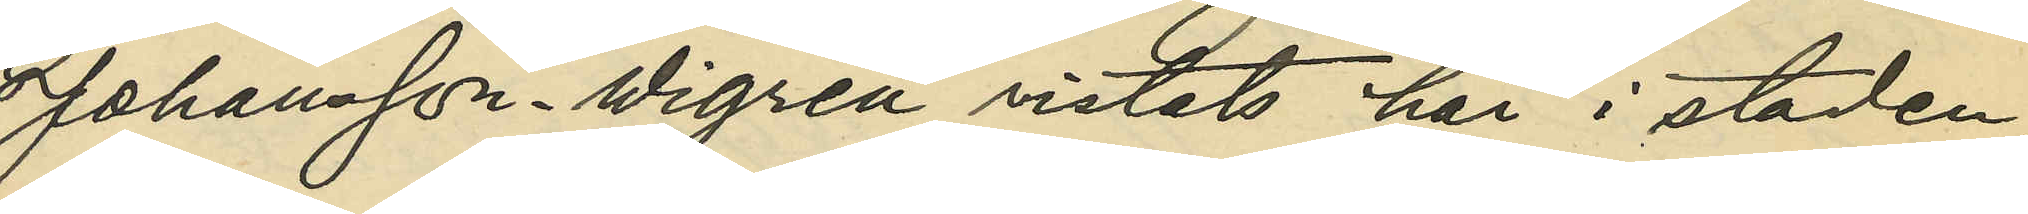Johansson Wigren vistats här i staden,
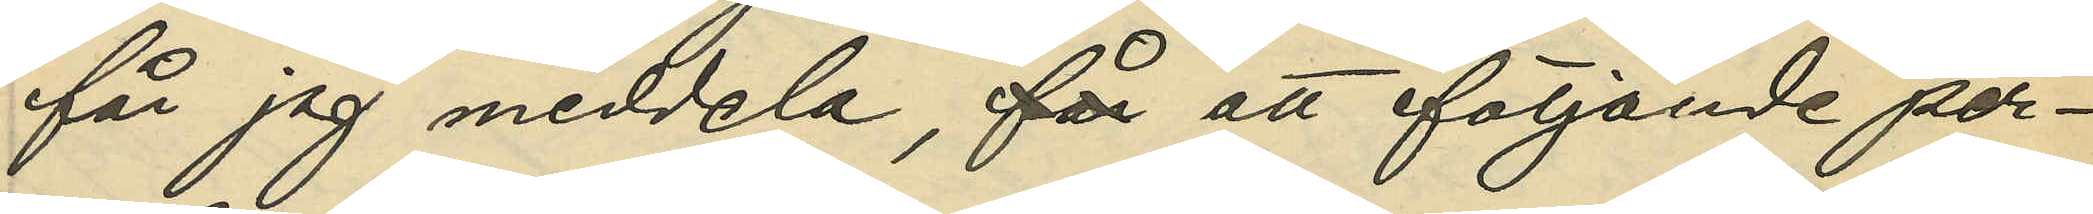får jag meddela, för att följande per¬
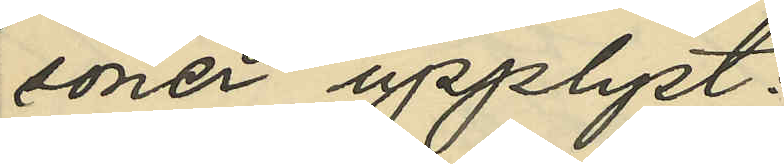soner upplyst:
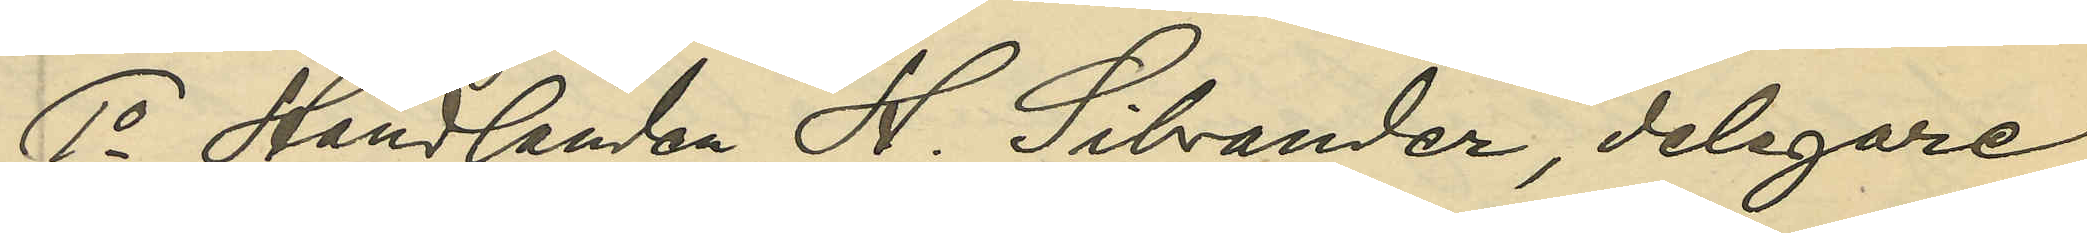1o Handlanden H. Silvander, delegare
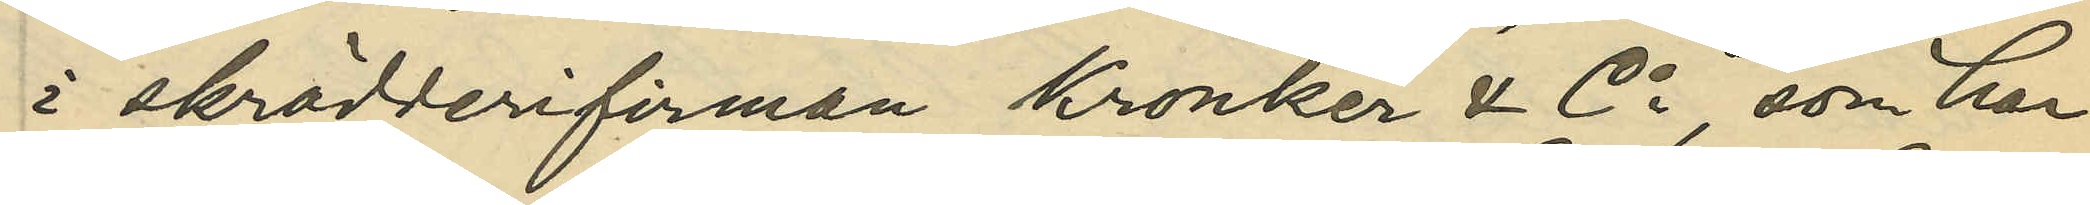i skrädderifirman Kronker & Co, som har
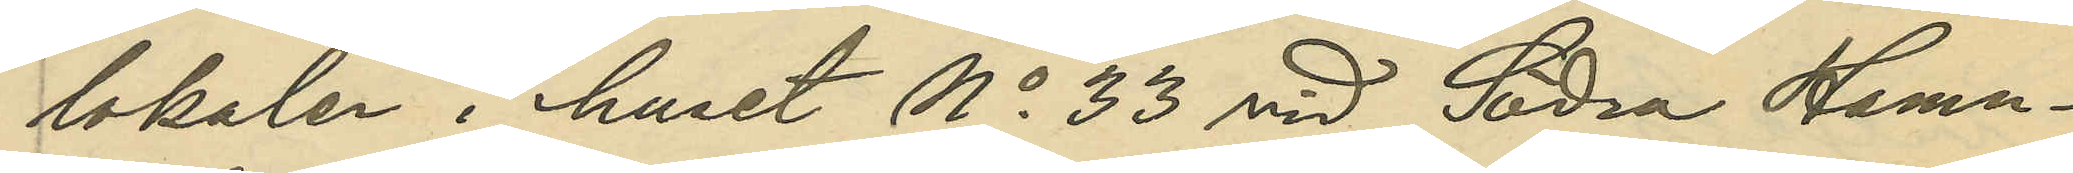lokaler i huset No 33 vid Södra Hamn¬
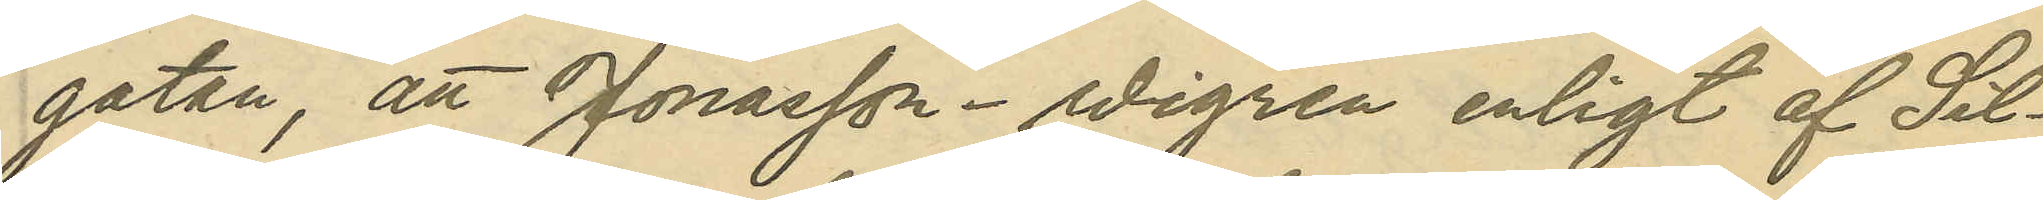gatan, att Jonasson - Wigren enligt af Sil¬
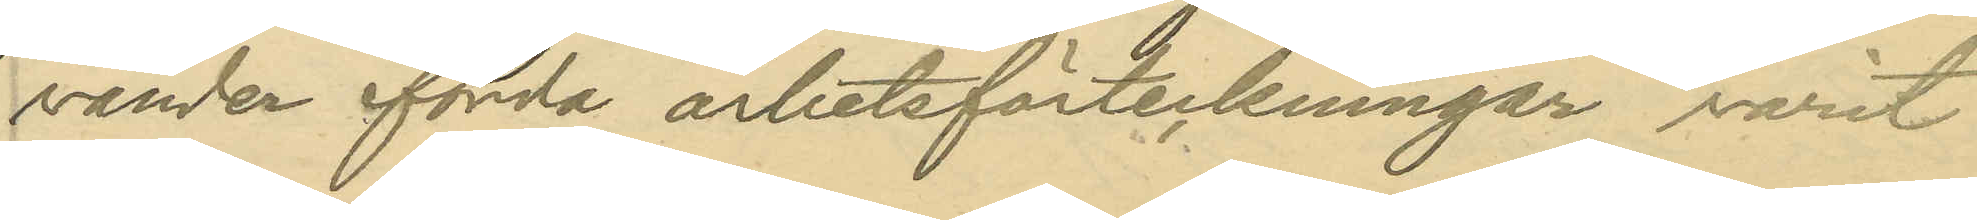vander förda arbetsanteckningar varit
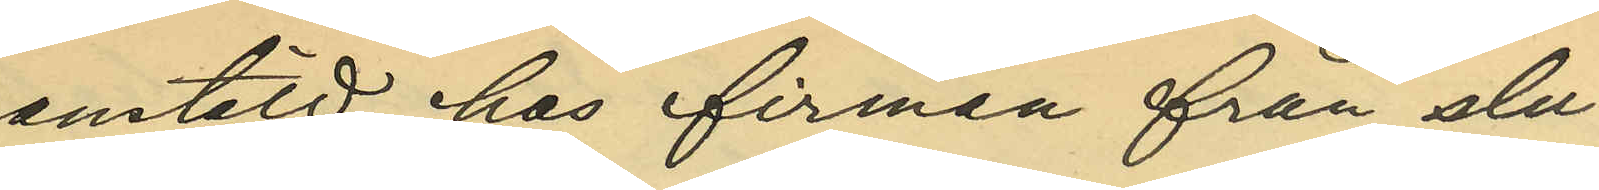anstäld hos firman från slu¬
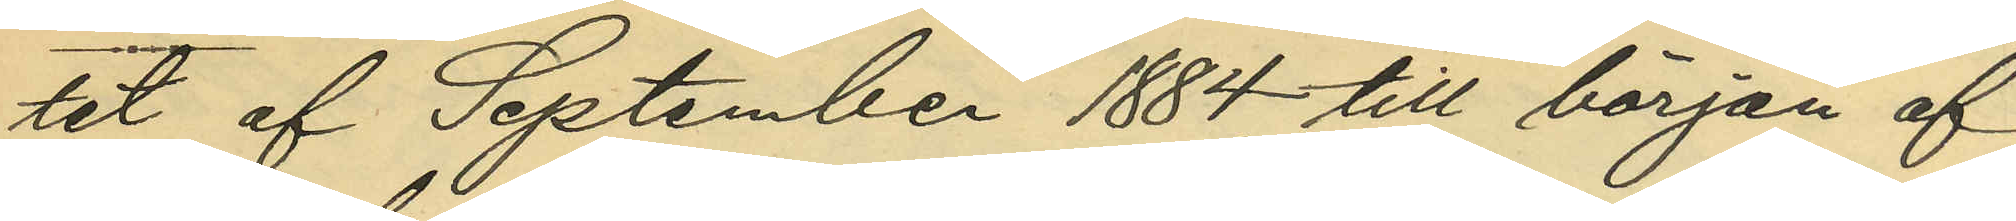tet af September 1884 till början af
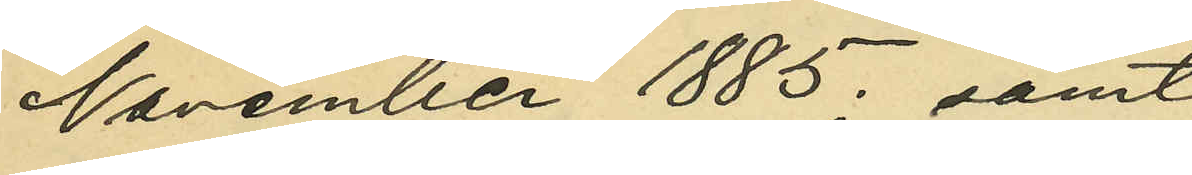November 1885; samt
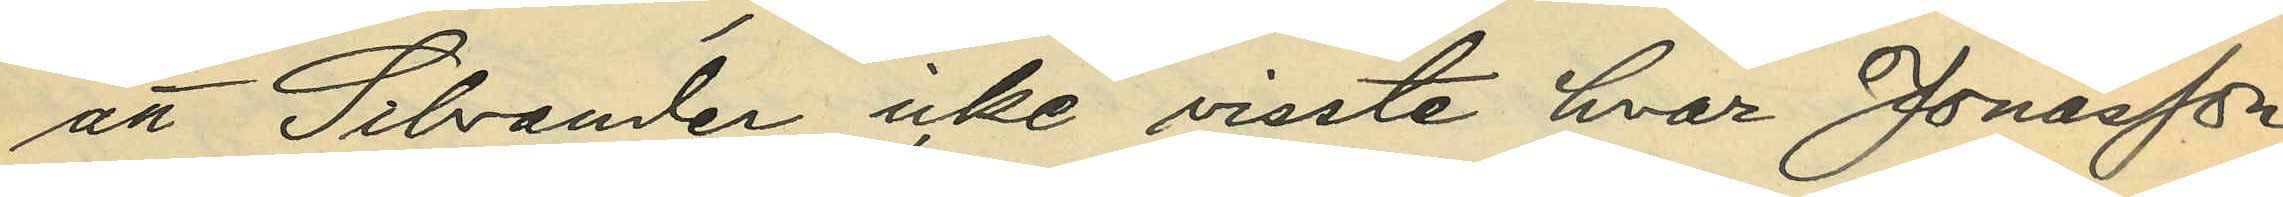att Silvander icke visste hvar Jonasson 
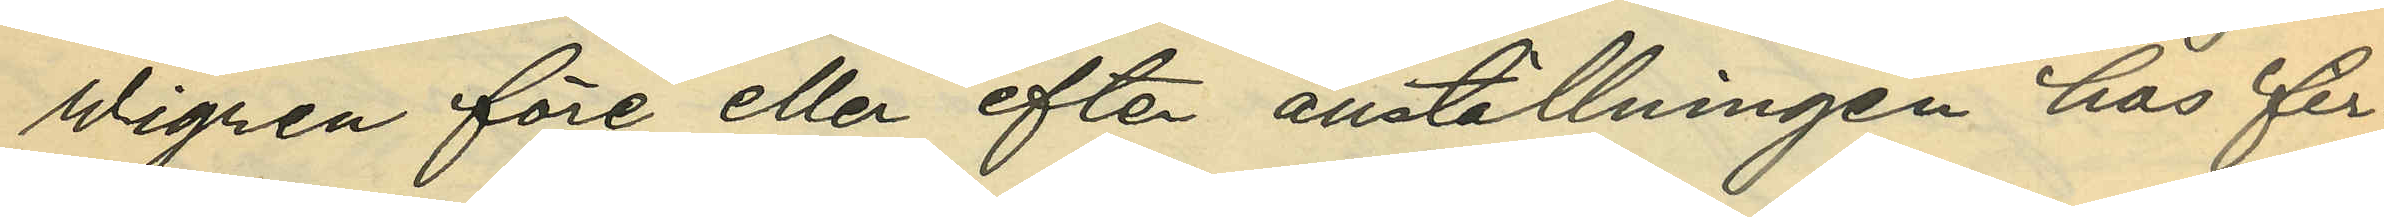Wigren före eller efter anställningen hos fir¬
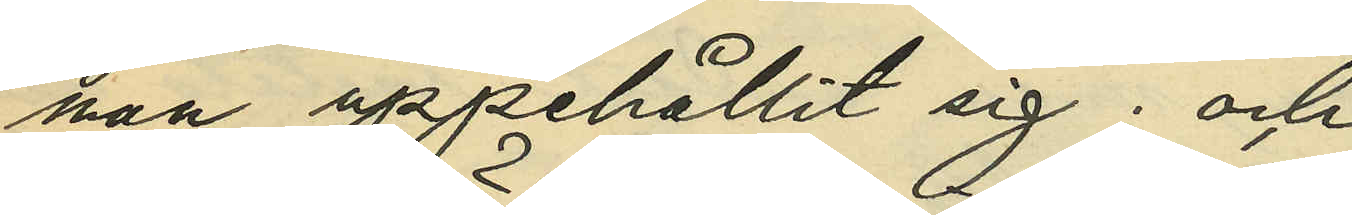man uppehållit sig; och
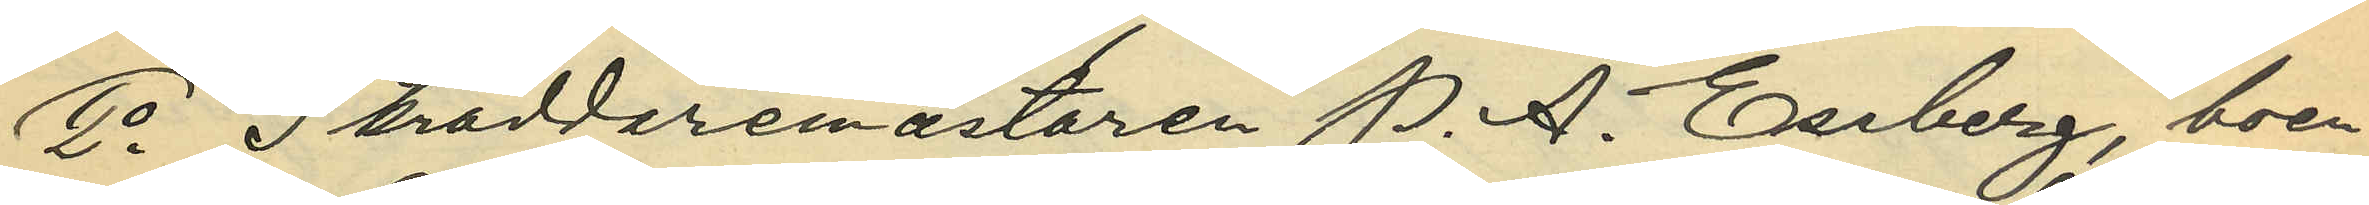2o Skräddaremästaren P. A. Essberg, boe¬
